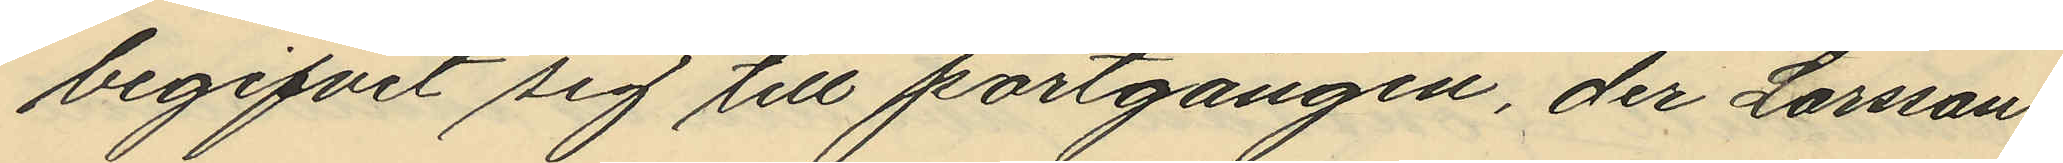begifvit sig till portgången, der Larsson
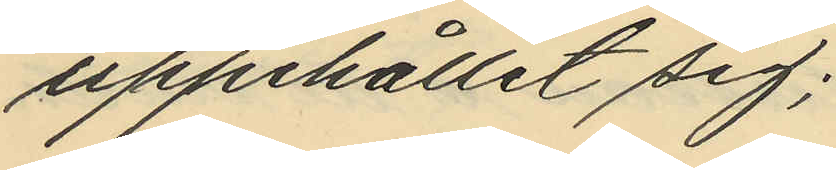uppehållit sig;
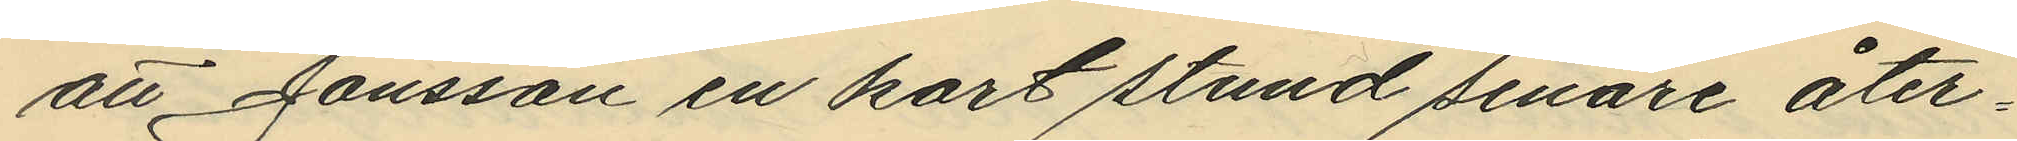att Jonsson en kort stund senare åter¬
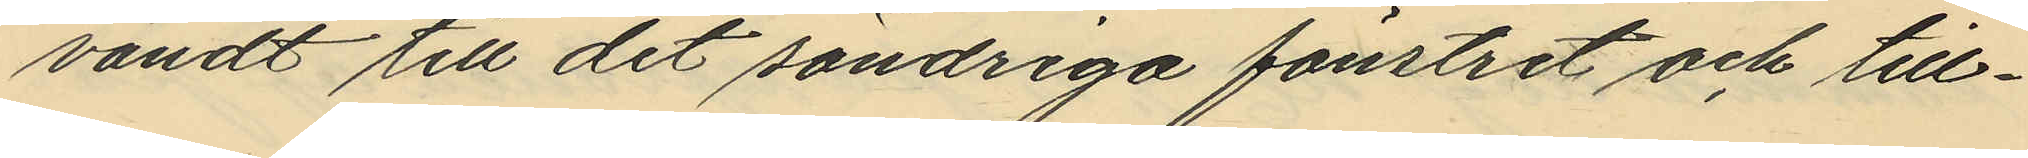vändt till det söndriga fönstret och till¬
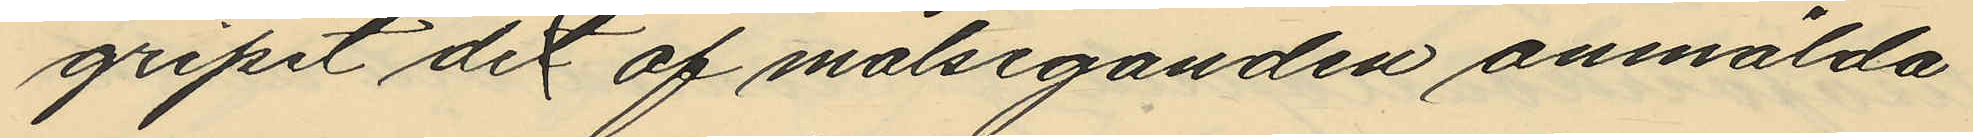gripit de af målseganden anmälda
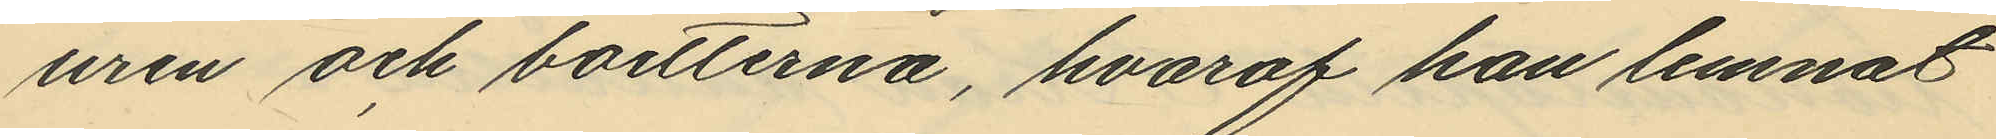uren och boetterna, hvaraf han lemnat
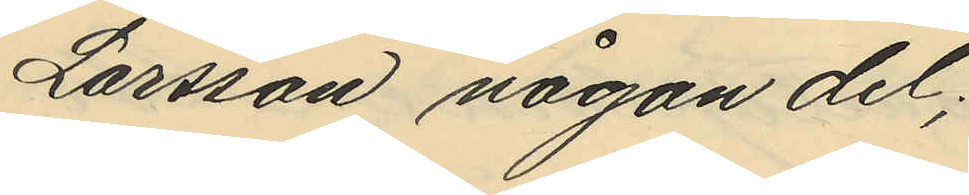Larsson någon del;
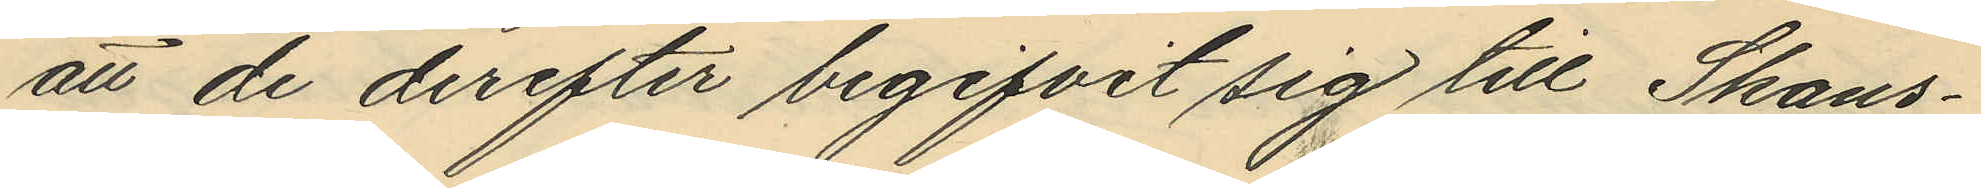att de derefter begifvit sig till Skans¬
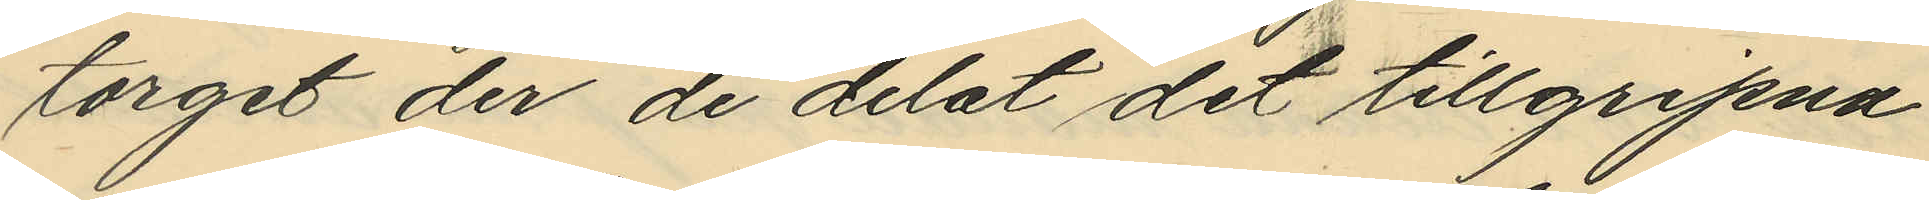torget der de delat det tillgripna
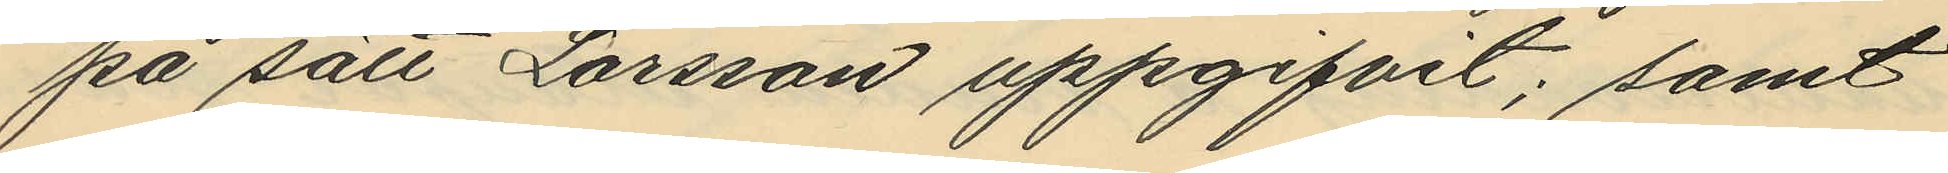på sätt Larsson uppgifvit; samt
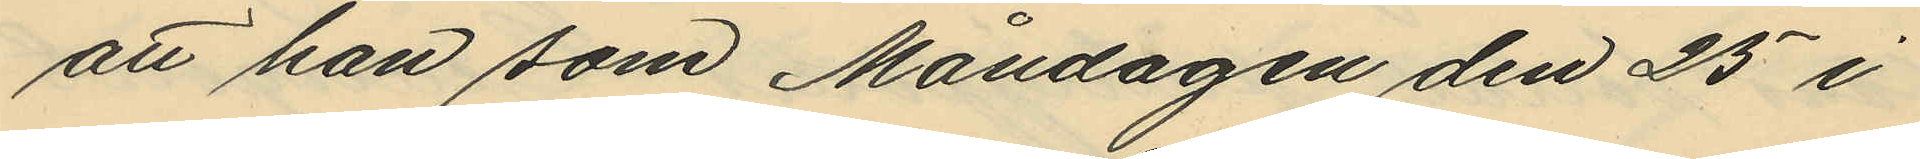att han som Måndagen den 25 i
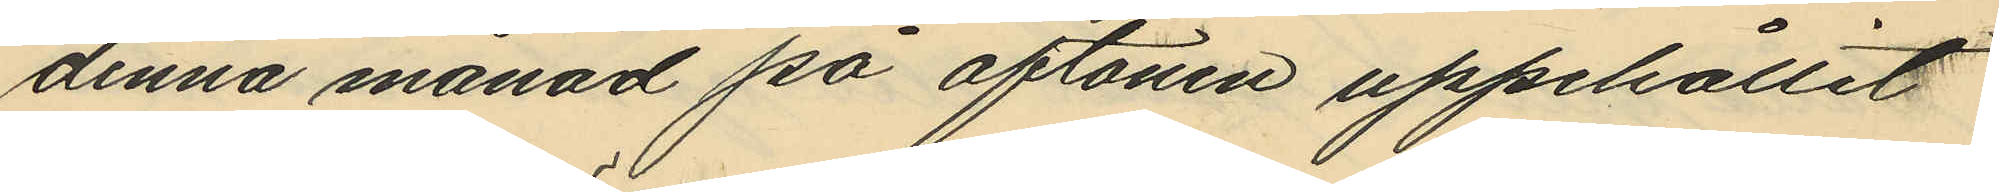denna månad på aftonen uppehållit
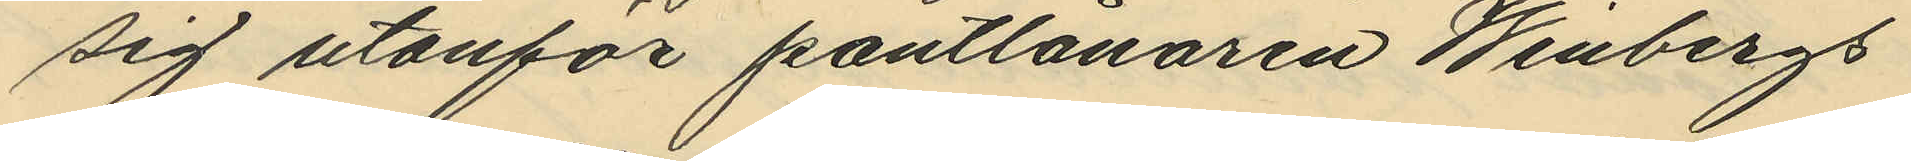sig utanför pantlånaren Winbergs
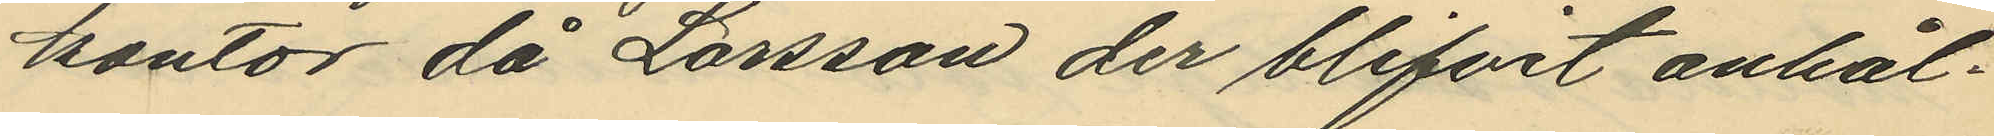kontor då Larsson der blifvit anhål¬
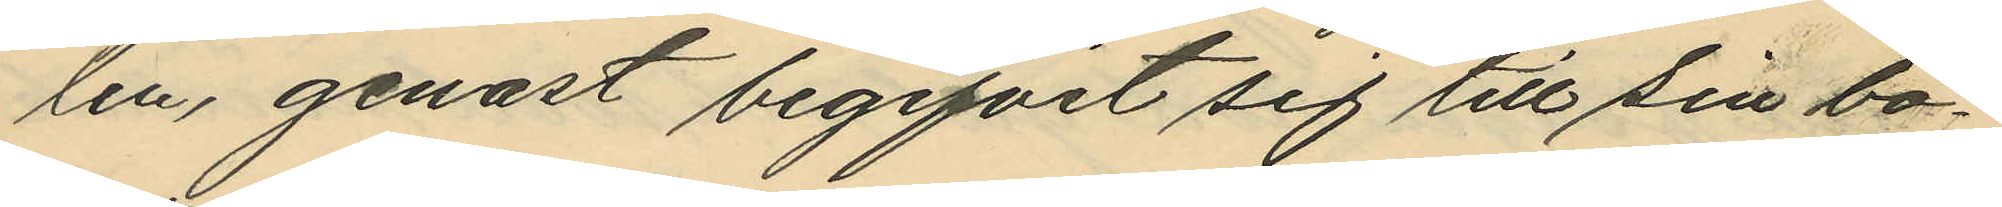len, genast begifvit sig till sin bo¬
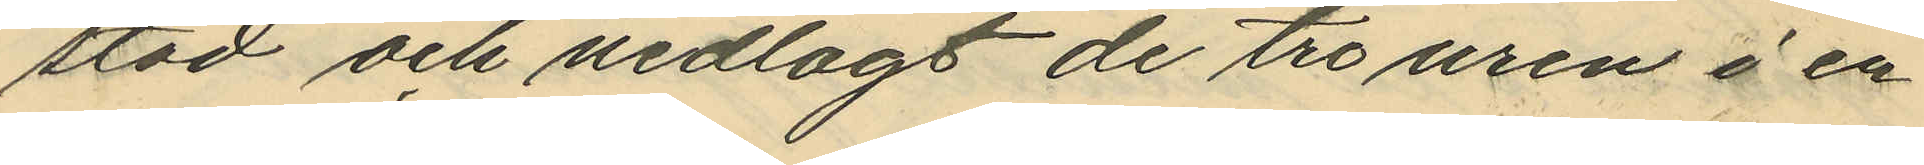stad och nedlagt de tre uren å en
